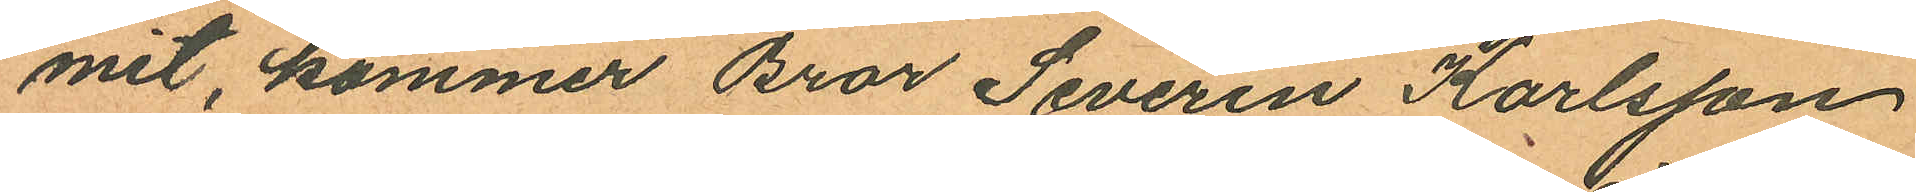mit, kommer Bror Severin Karlsson
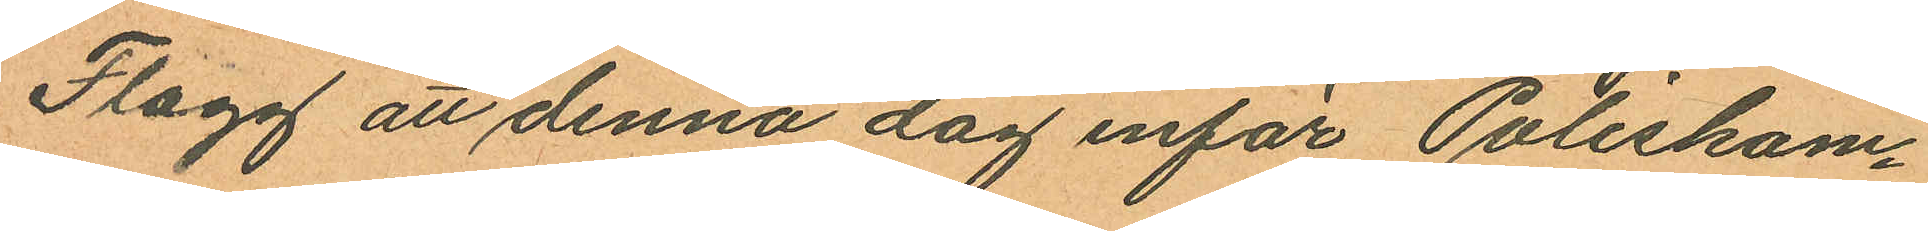Flagg att denna dag inför Poliskam¬
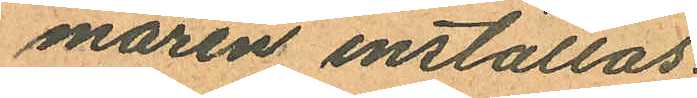maren inställas.
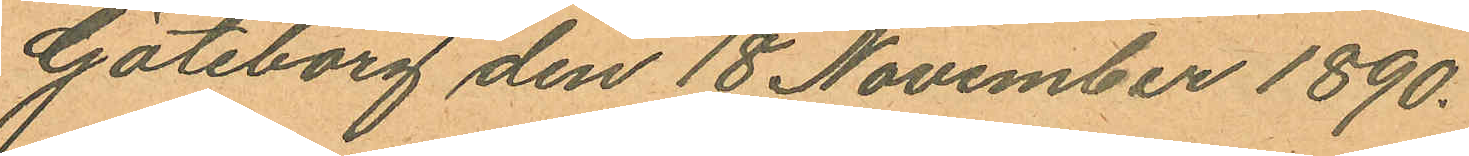Göteborg den 18 November 1890.
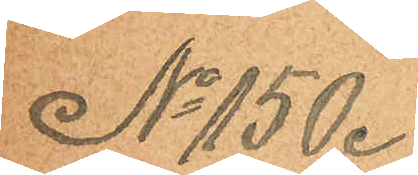No 150.
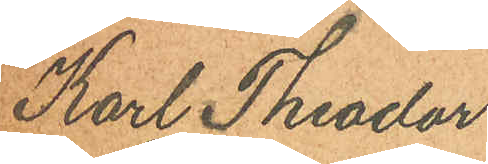Karl Theodor
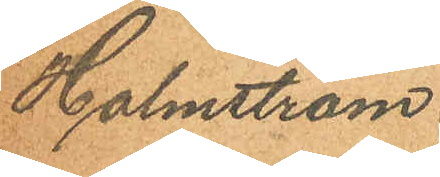Holmström.
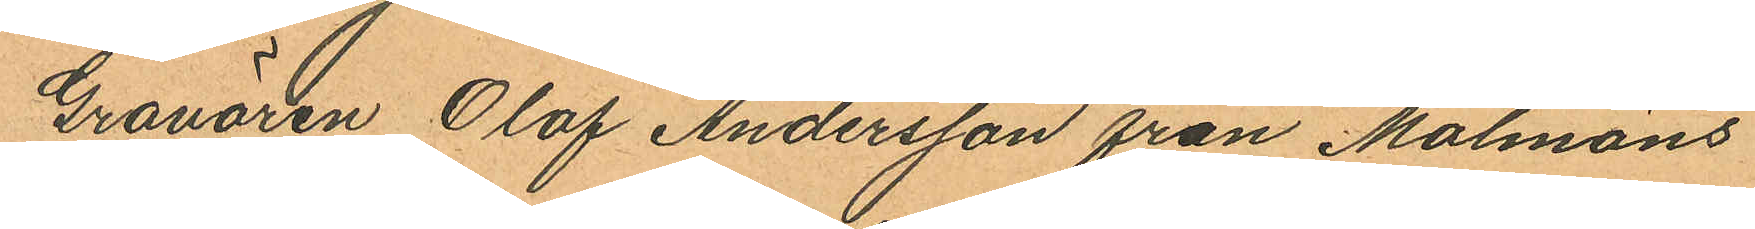Gravören Olof Andersson från Malmöns
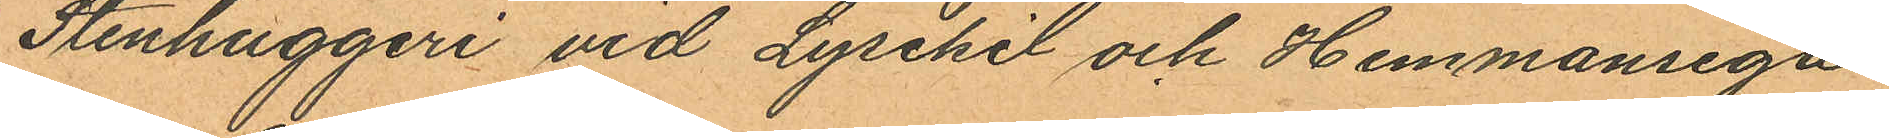Stenhuggeri vid Lysekil och Hemmansega¬
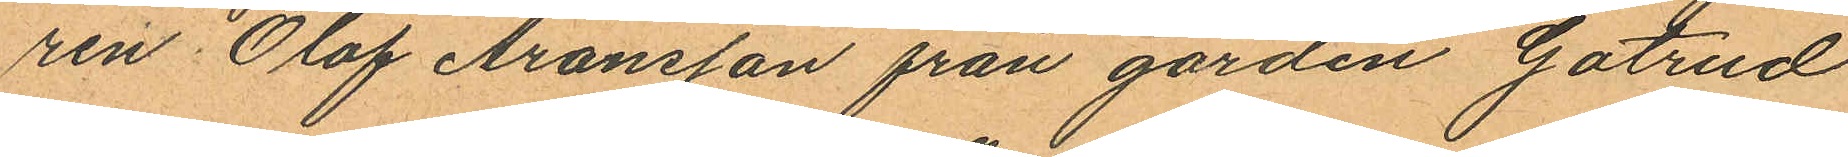ren Olof Aronsson från gården Gatrud
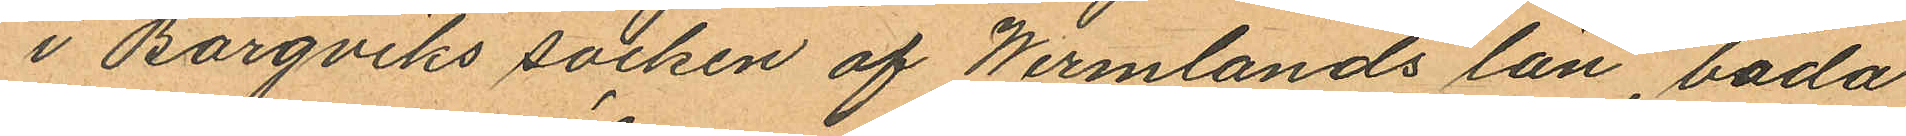i Borgviks socken af Wermlands län, båda
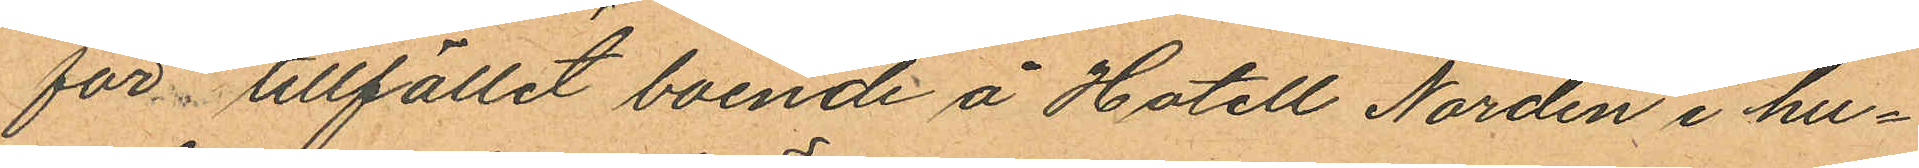för tillfället boende å Hotell Norden i hu¬
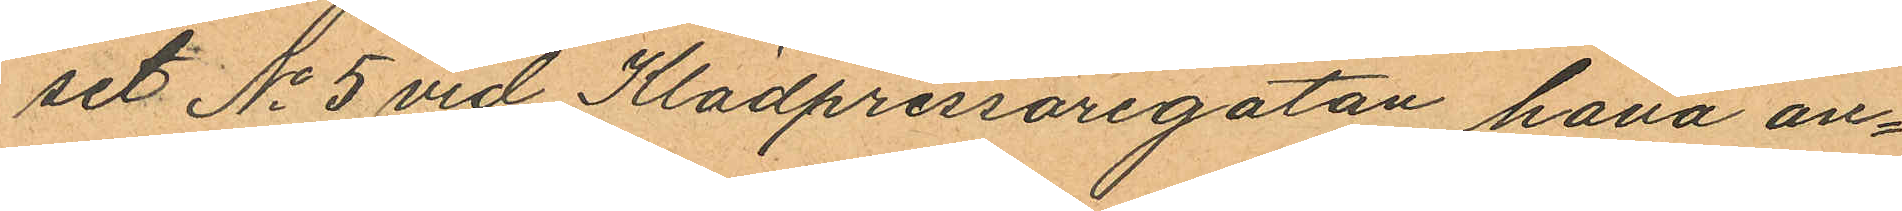set No 5 vid Klädpressaregatan hava an¬
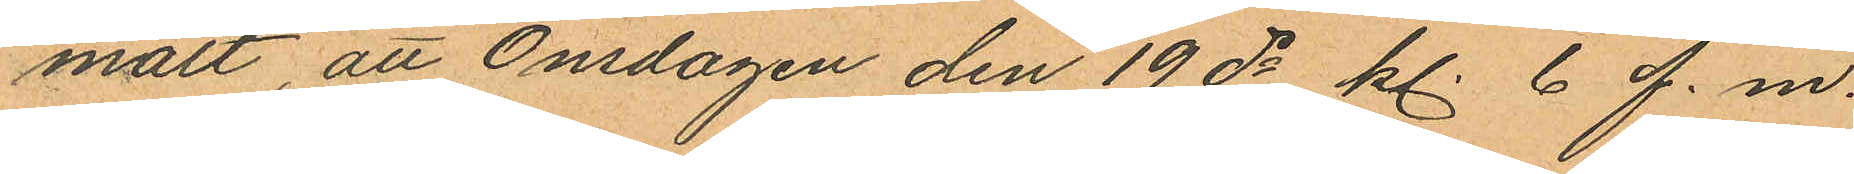mält, att Onsdagen den 19 ds kl. 6 f.m.
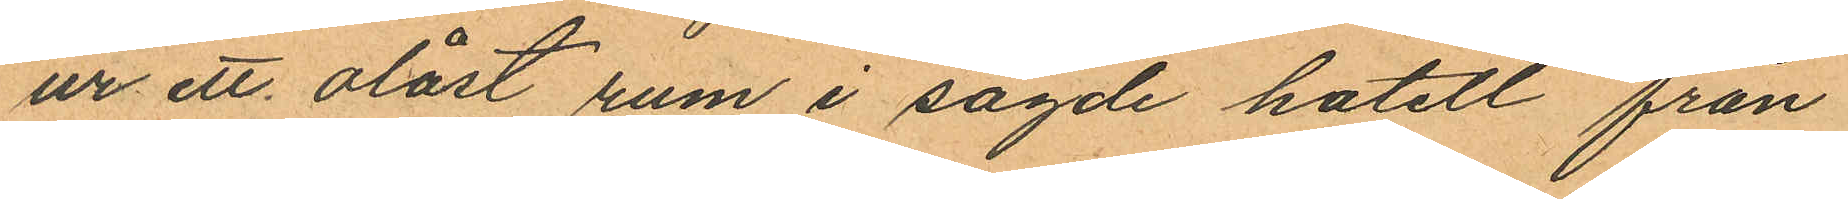ur ett olåst rum i sagde hotell från
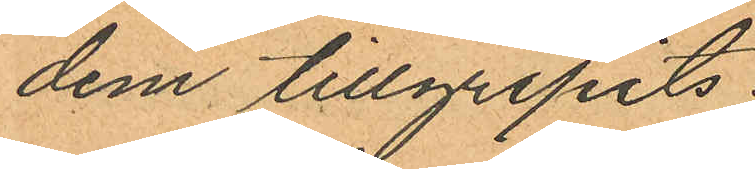dem tillgripits:
